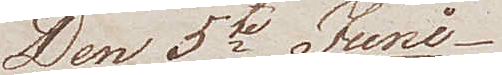Den 5te Juni
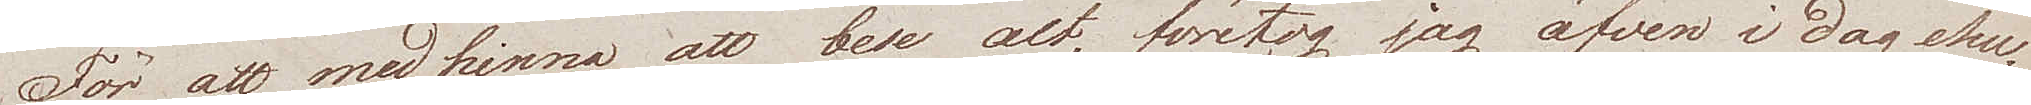För att medhinna att bese alt, företog jag äfven i dag ehu¬
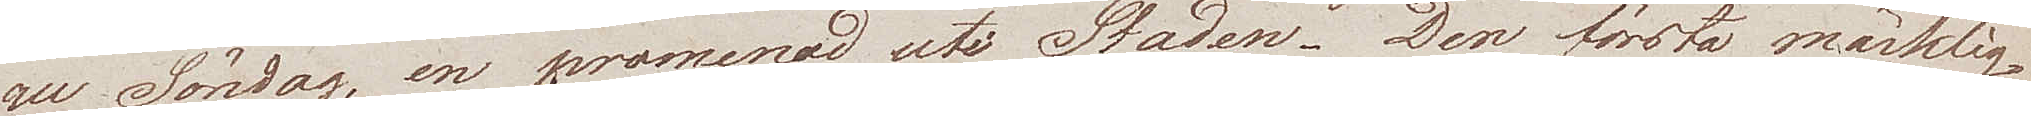ru Söndag, en promenad uti Staden. Den första märklig¬
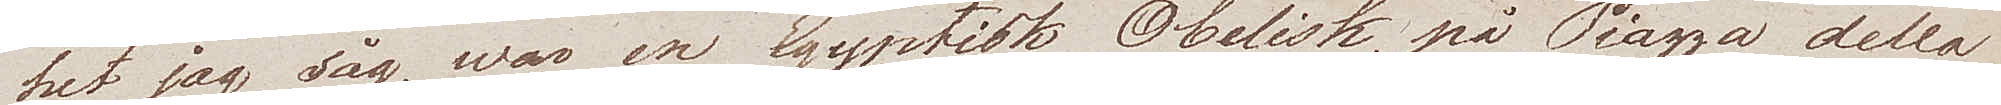het jag såg, war en Egyptisk Obelisk, på Piazza della
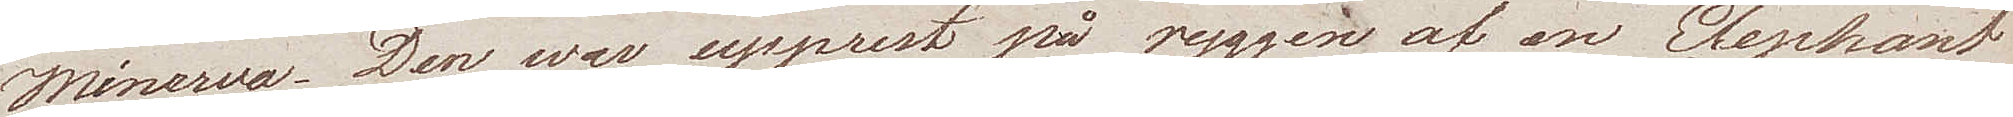Minerva. Den war upprest på ryggen af en Elephant
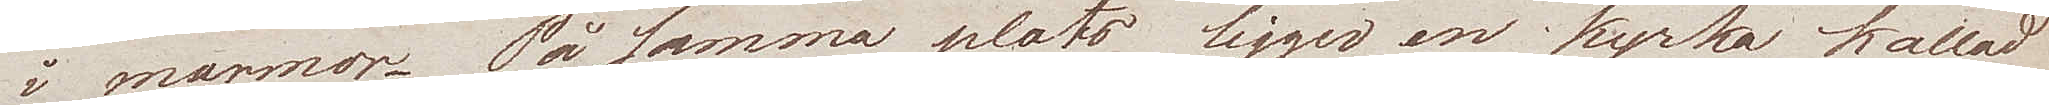i marmor. På samma plats ligger en kyrka kallad
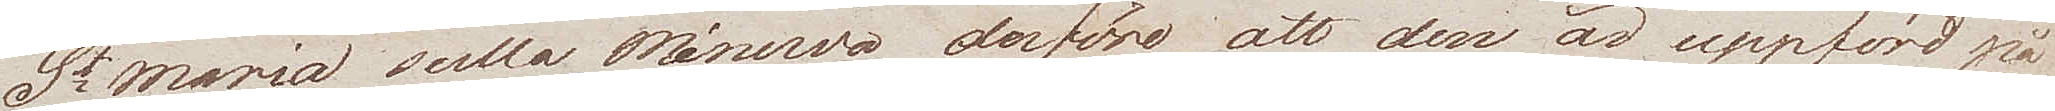St Maria della Minerva, derföre att den är uppförd på
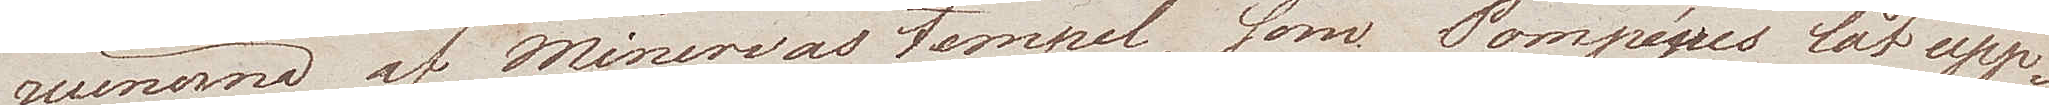ruinerna af Minervas tempel, som Pompejus lät upp¬
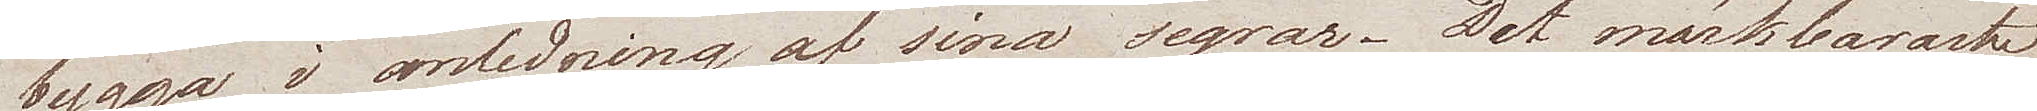bygga i anledning af sina segrar. Det märkbaraste
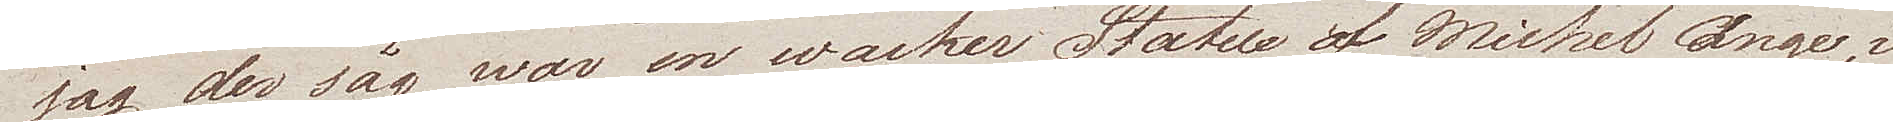jag der såg war en wacker Statue af Michel Ange, i
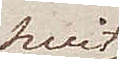hvit
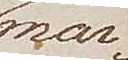mar¬
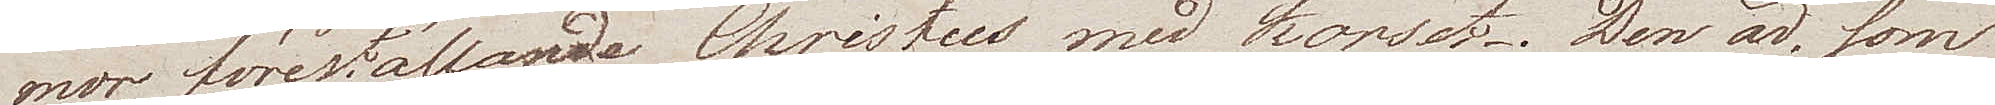mor, föreställande Christus med korset. Den är, som
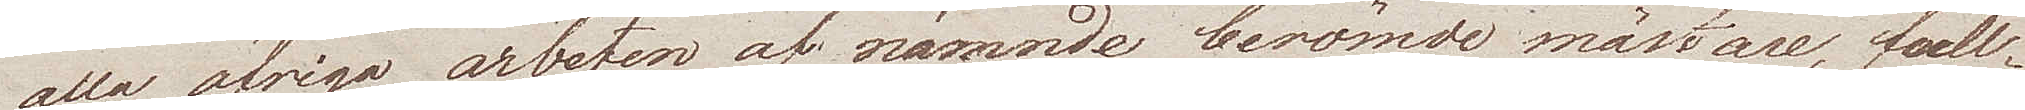alla öfriga arbeten af nämnde berömde mästare, full¬
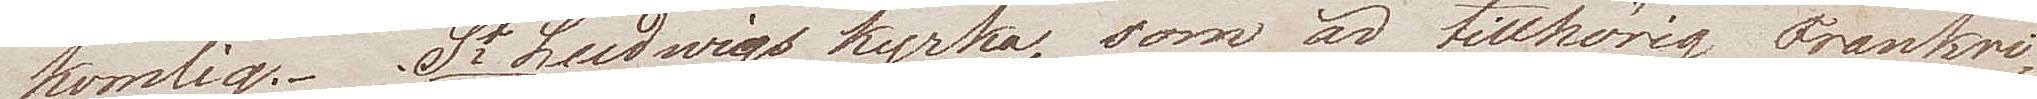komlig. St Ludwigs kyrka, som är tillhörig Frankri¬
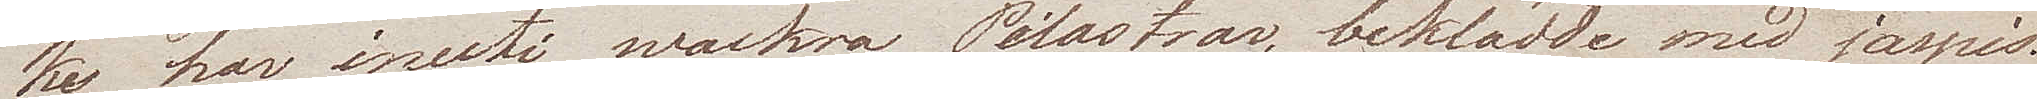ke, har inuti wackra Pilastrar, beklädda med jaspis.
